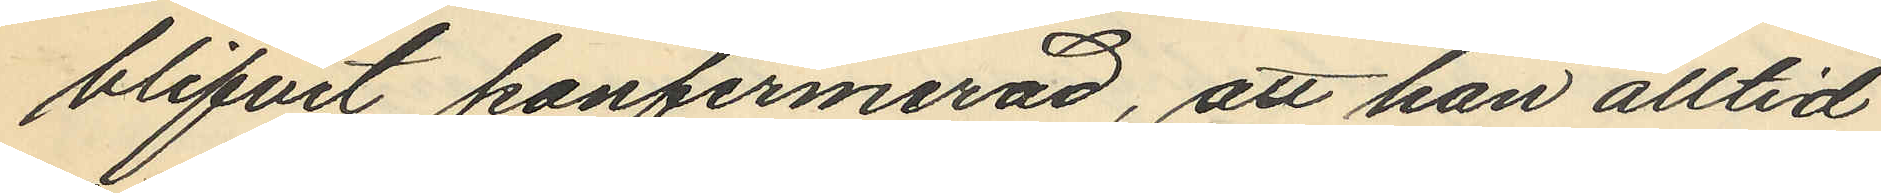blifvit konfirmerad, att han alltid
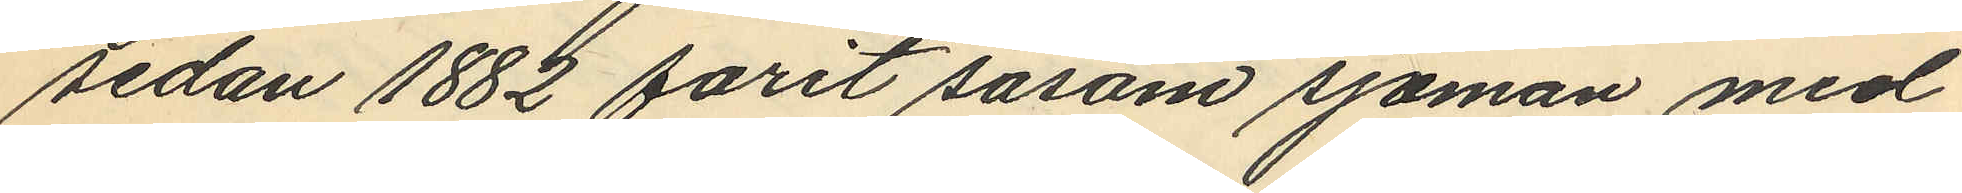sedan 1882 farit såsom sjöman med
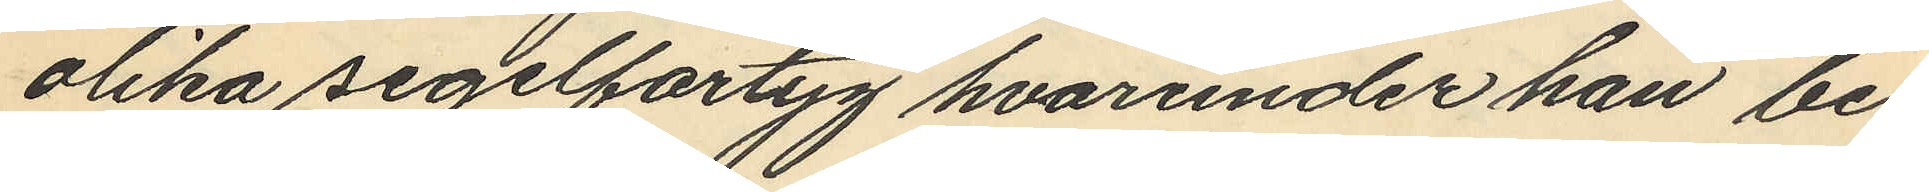olika segelfartyg hvarunder han be¬
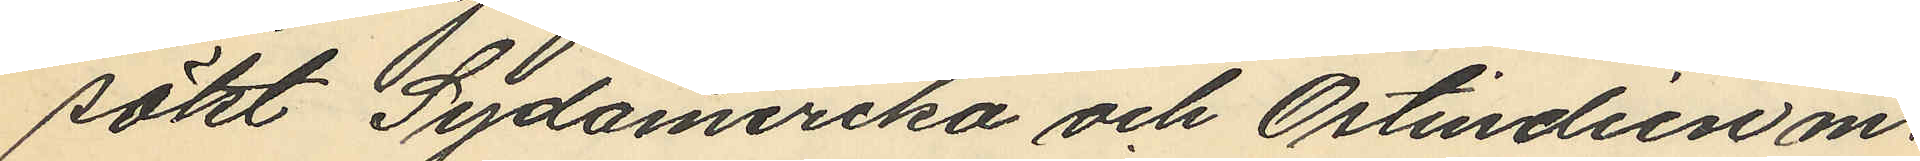sökt Sydamerika och Ostindien m.
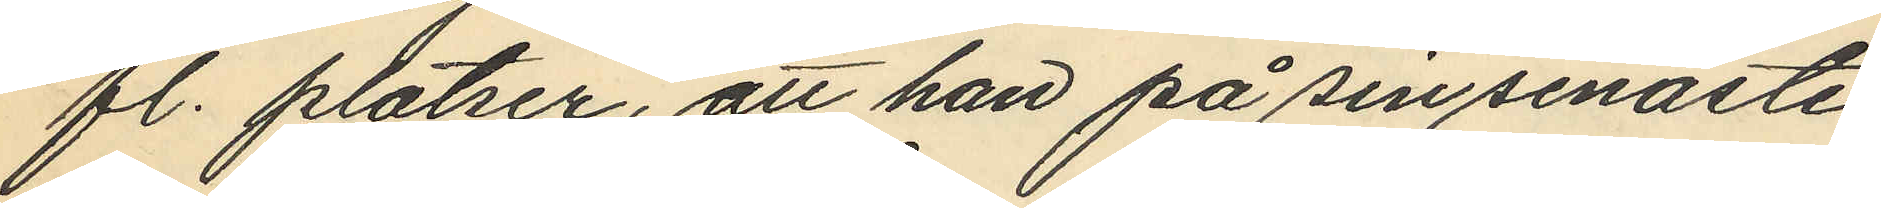fl. platser, att han på sin senaste
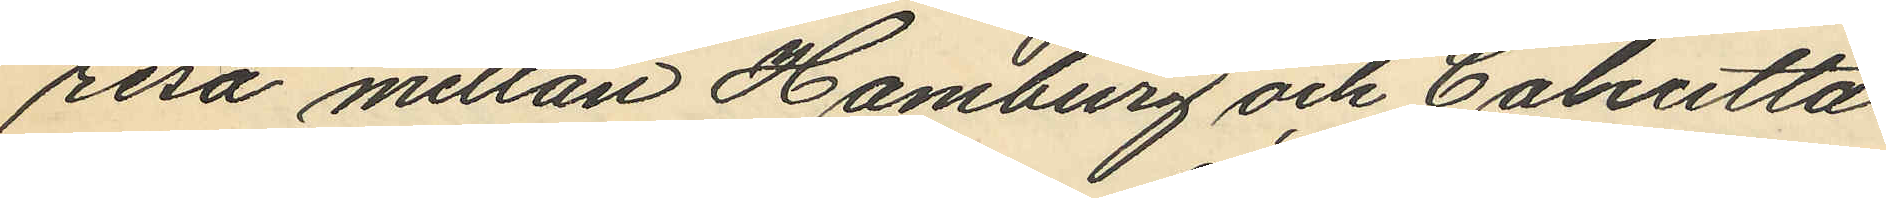resa mellan Hamburg och Calcutta
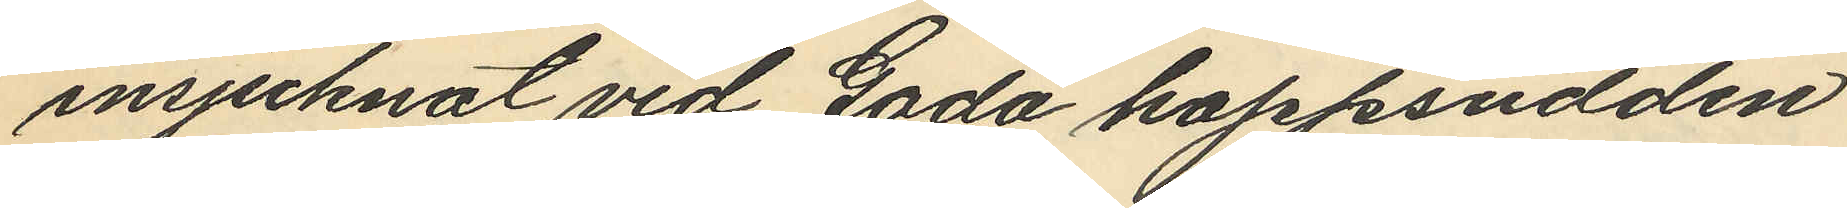insjuknat vid Goda hoppsudden
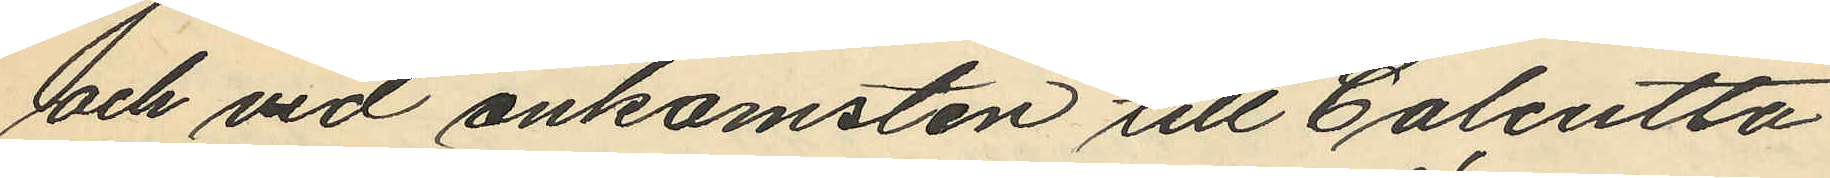och vid ankomsten till Calcutta
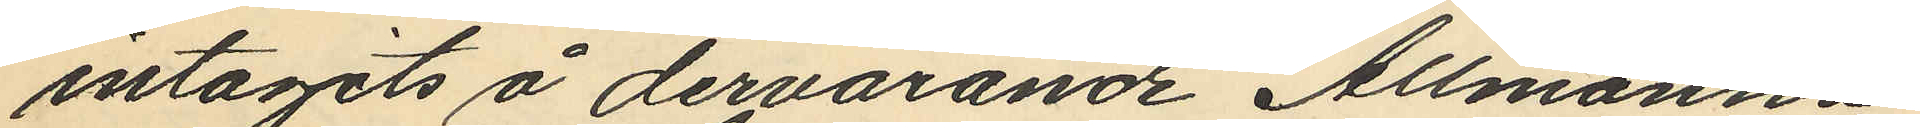intagits å dervarande Allmänna
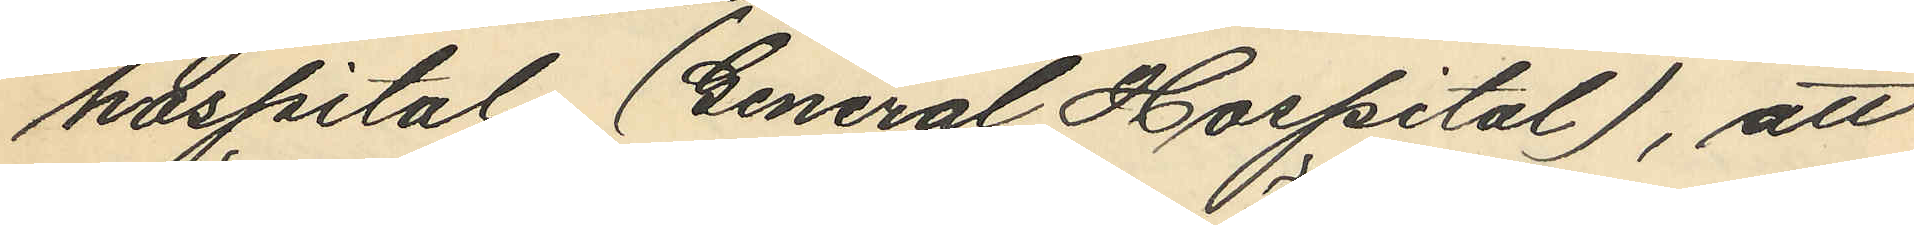hospital (General Hospital), att
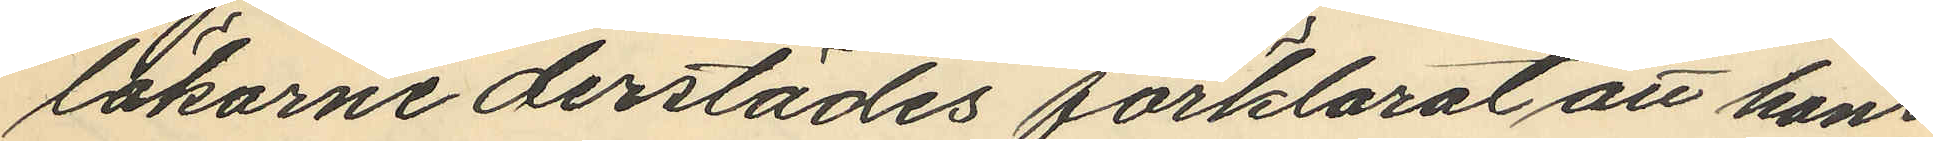läkarne derstädes förklarat att hans
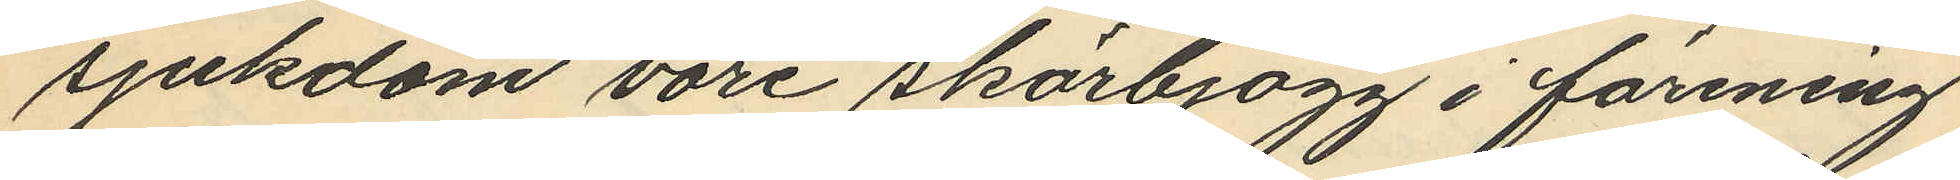sjukdom vore skörbjögg i förening
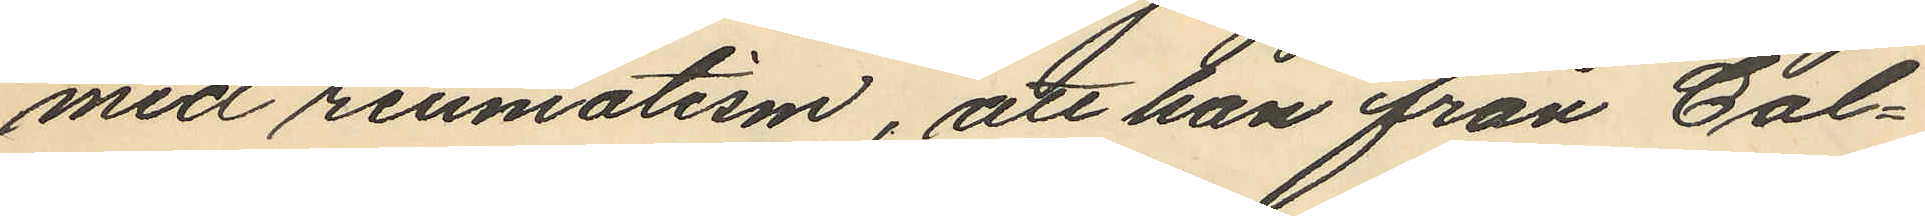med reumatism, att han från Cal¬
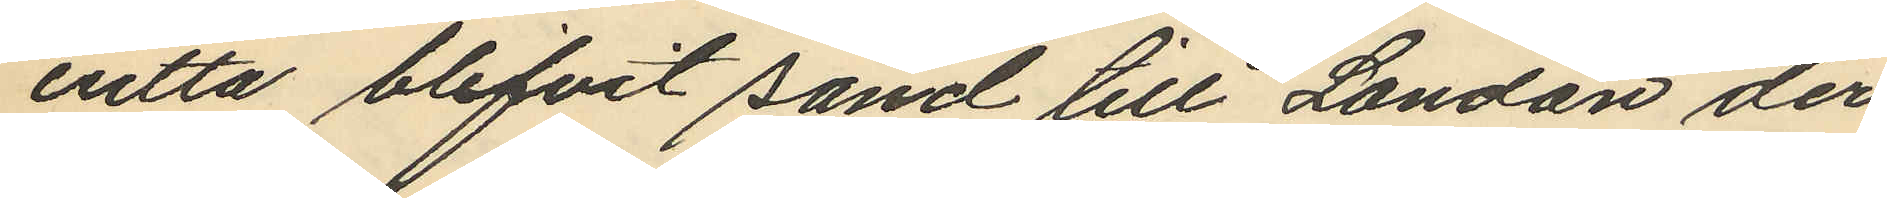cutta blifvit sänd till London der
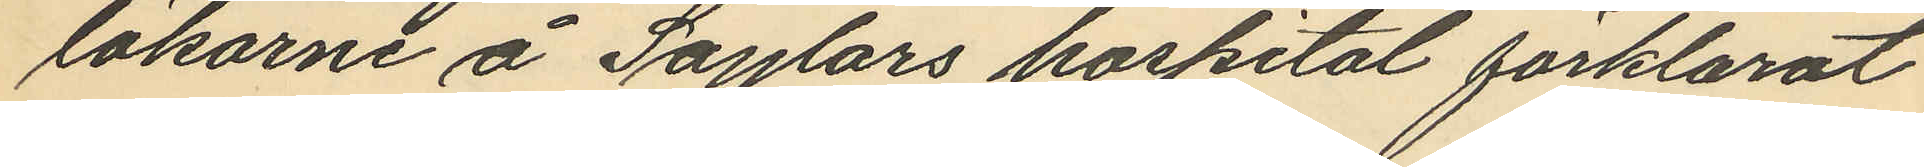läkarne å Saylors hospital förklarat
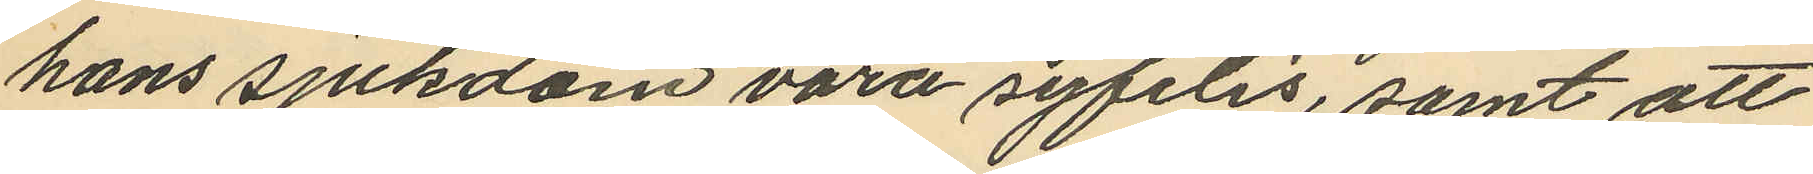hans sjukdom vara syfilis, samt att
